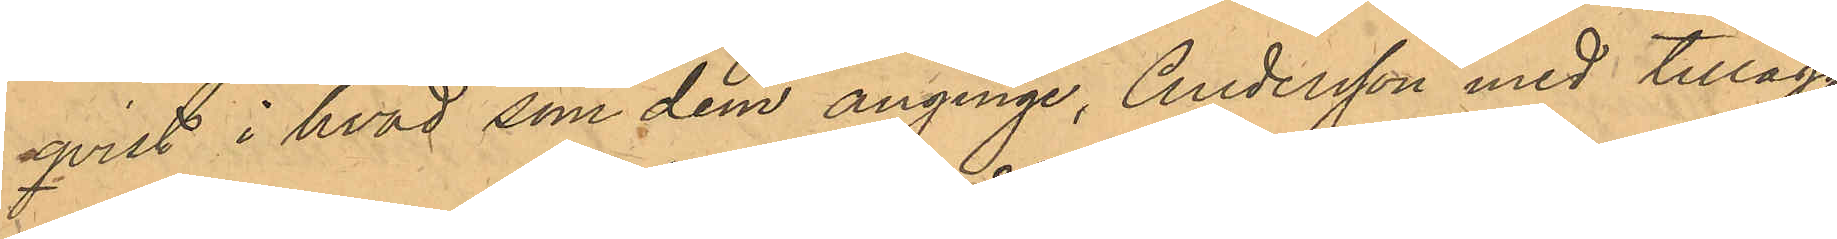qvist i hvad som dem anginge, Andersson med tillägg,
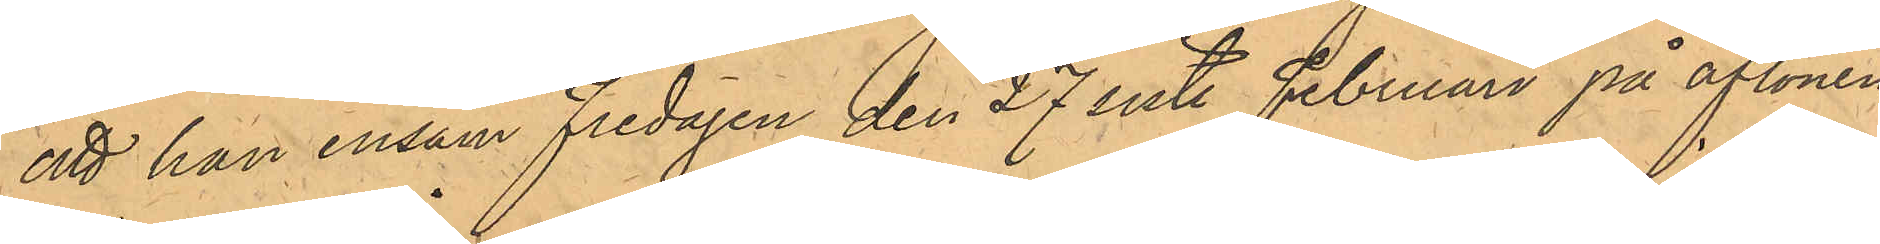att han ensam Fredagen den 27 Sist. Februari på aftonen
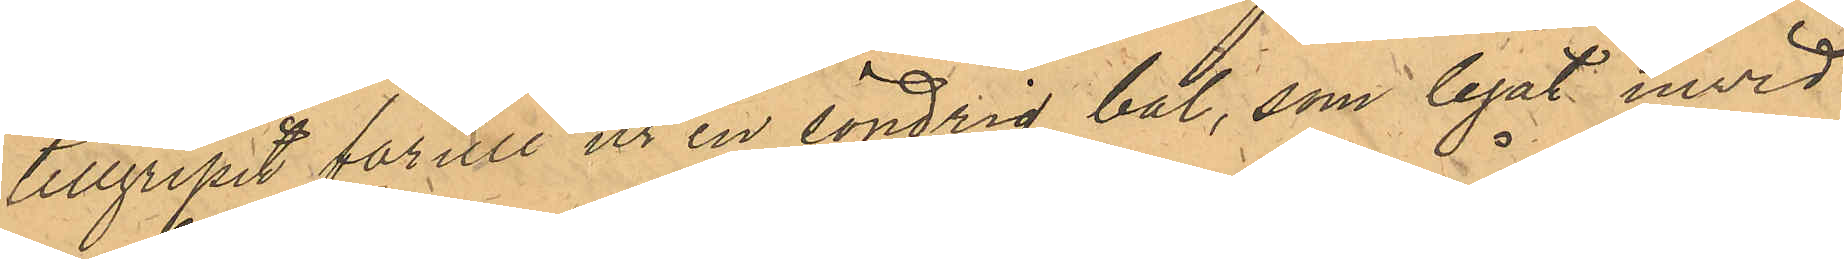tillgripit fårull ur en söndrig bal, som legat invid
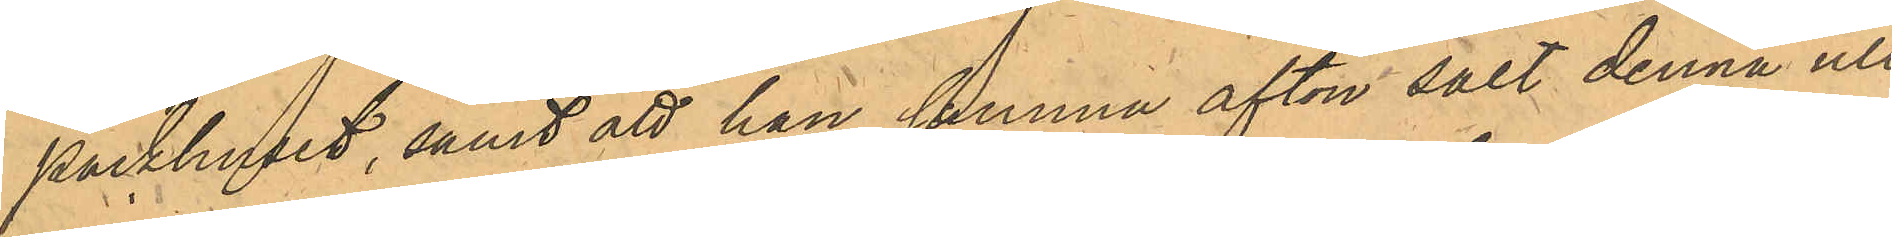Packhuset, samt att han samma afton sålt denna ull,
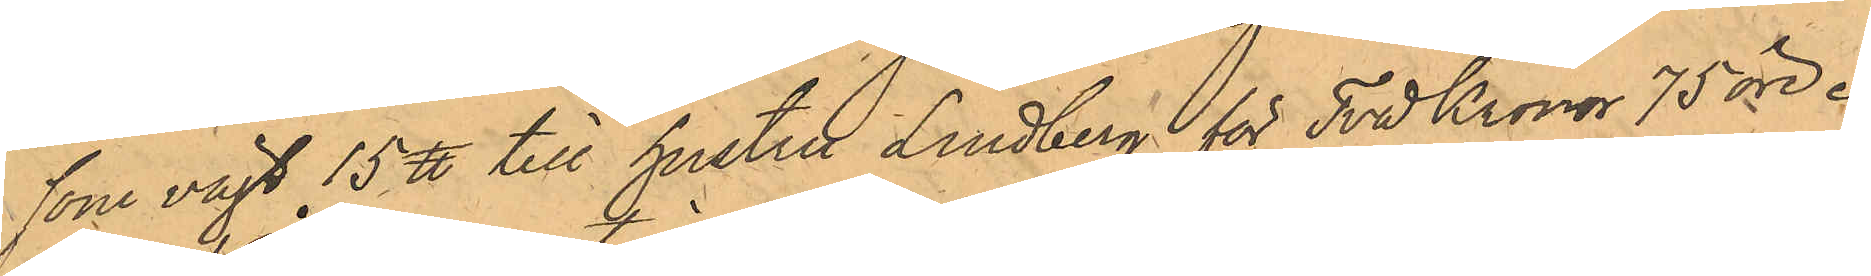som vägt 15 ℔ till hustru Lindberg för Två Kronor 75 öre.
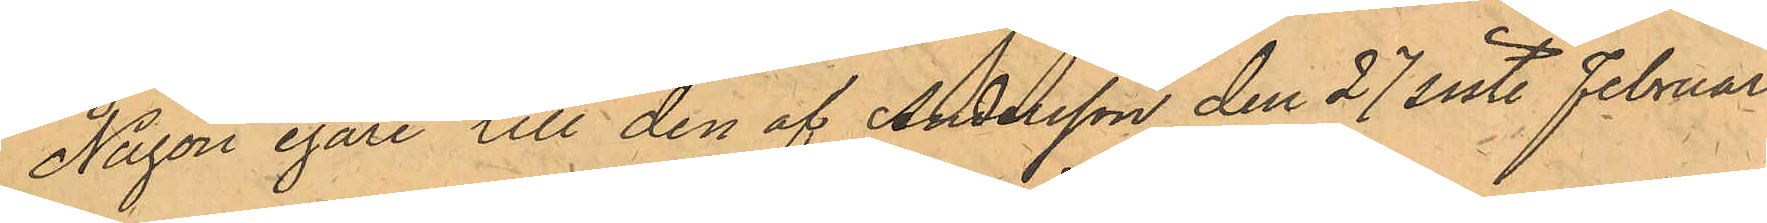Någon egare till den af Andersson den 27 sist. Februari
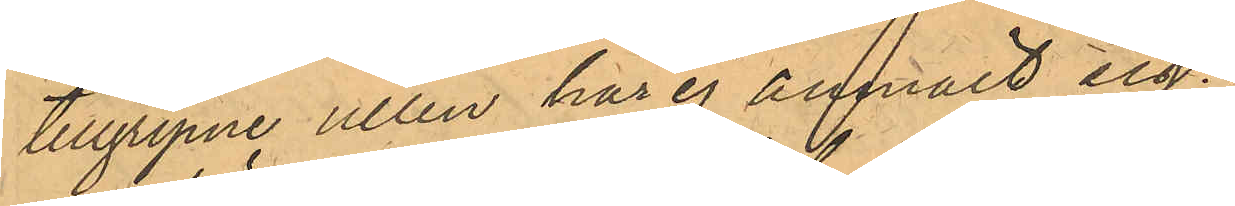tillgripne ullen har ej anmält sig,
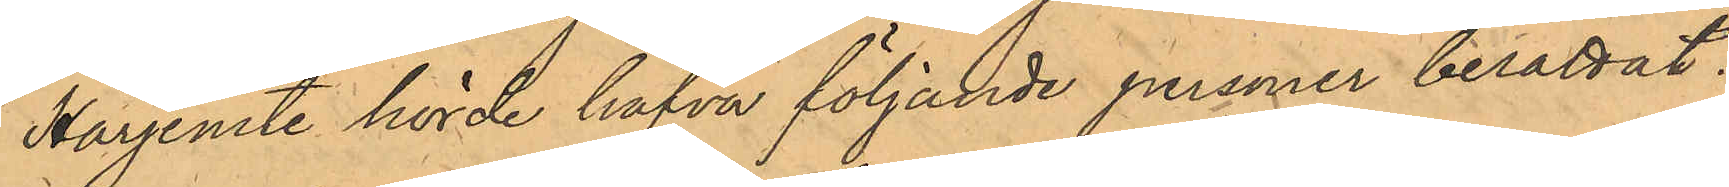Härjemte hörde hafva följande personer berättat:
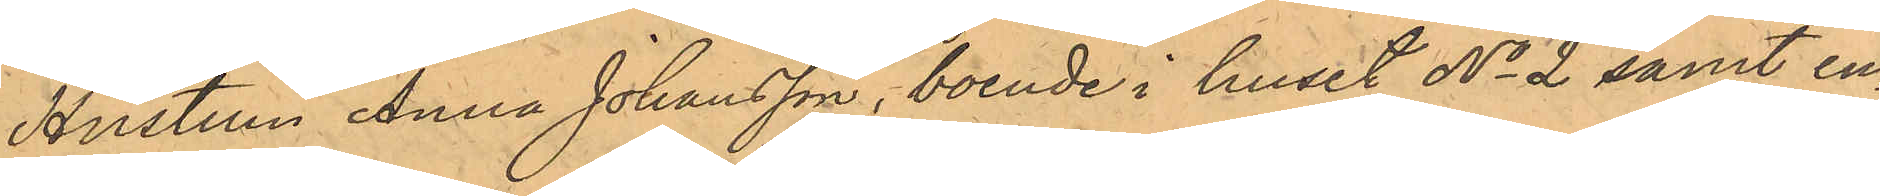Hustrun Anna Johansson, boende i Huset No 2 samt en¬
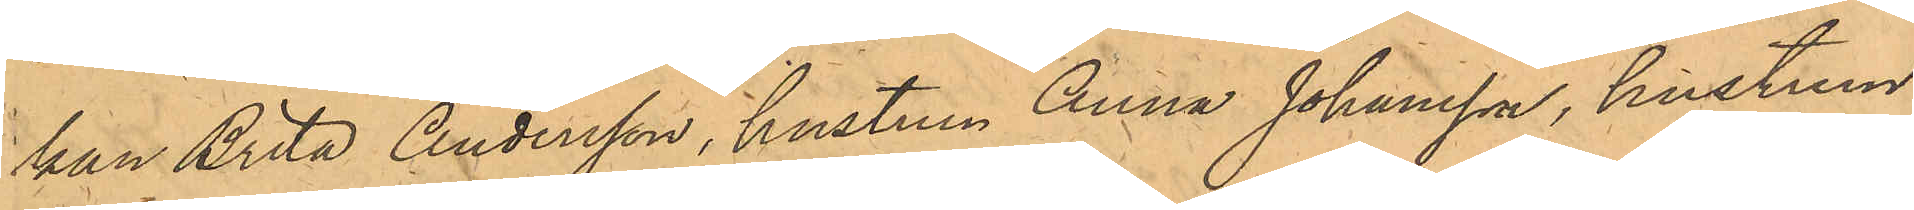kan Brita Andersson, hustrun Anna Johansson, hustrun
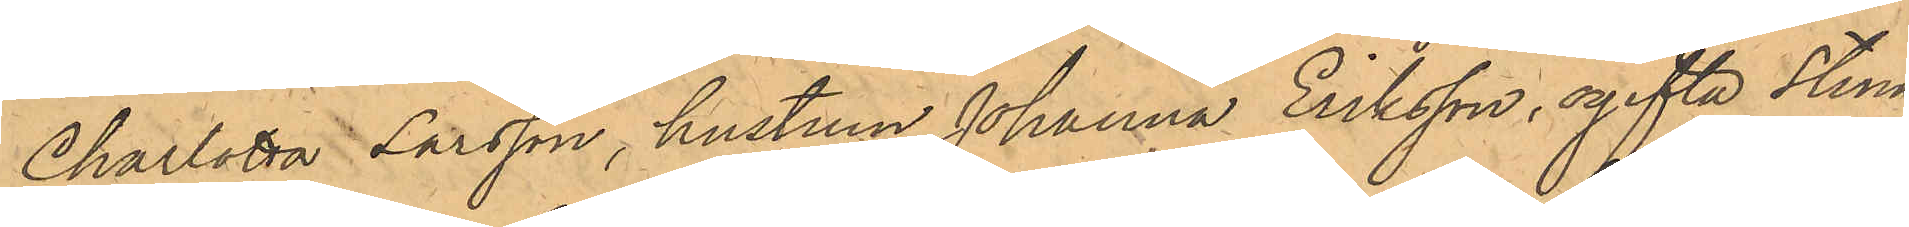Charlotta Larsson, hustrun Johanna Eriksson, ogifta Stina
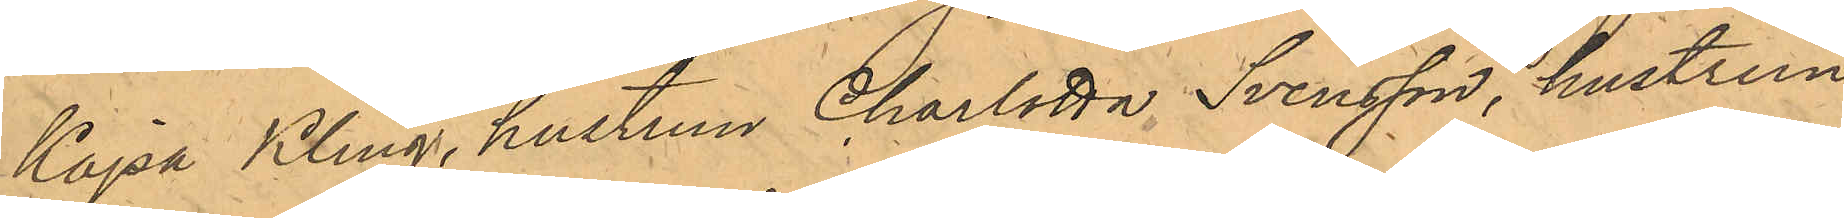Kajsa Kling, hustrun Charlotta Svensson, hustrun
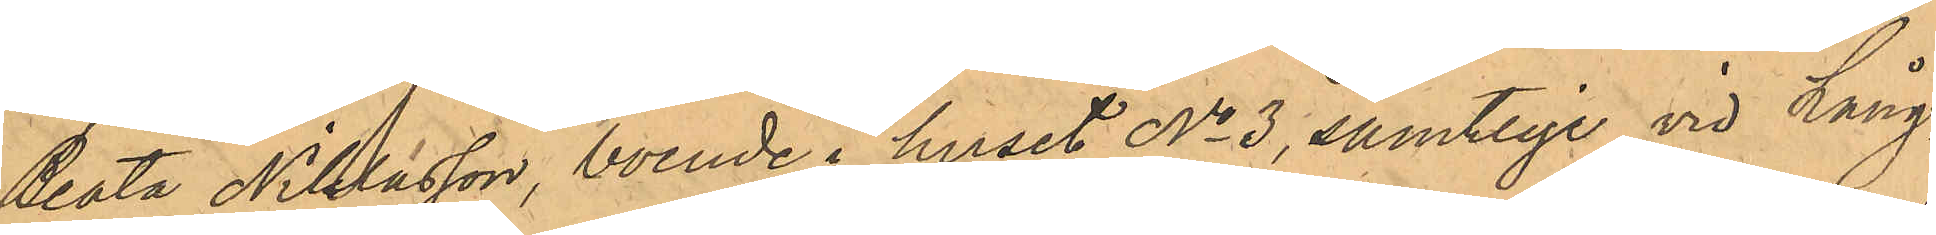Beata Niklasson, boende i huset No 3, samtliga vid Lång¬
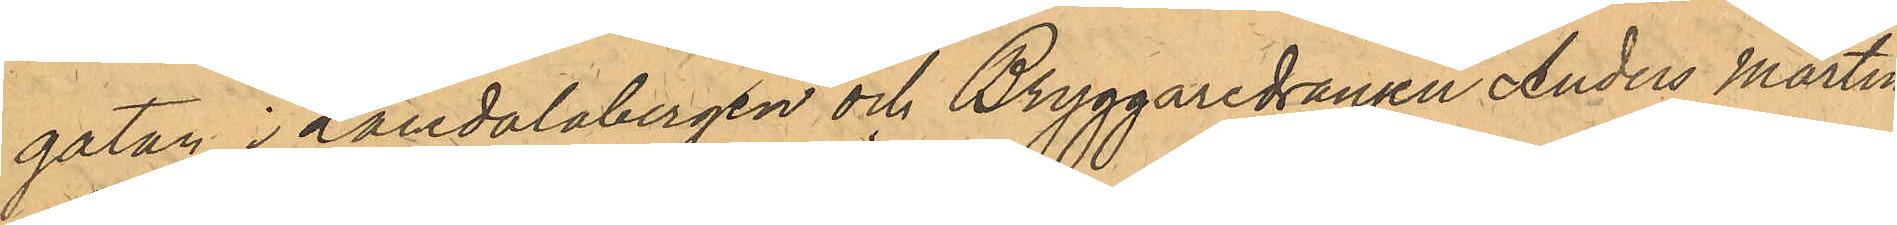gatan i Landalabergen och Bryggaredrängen Anders Martin
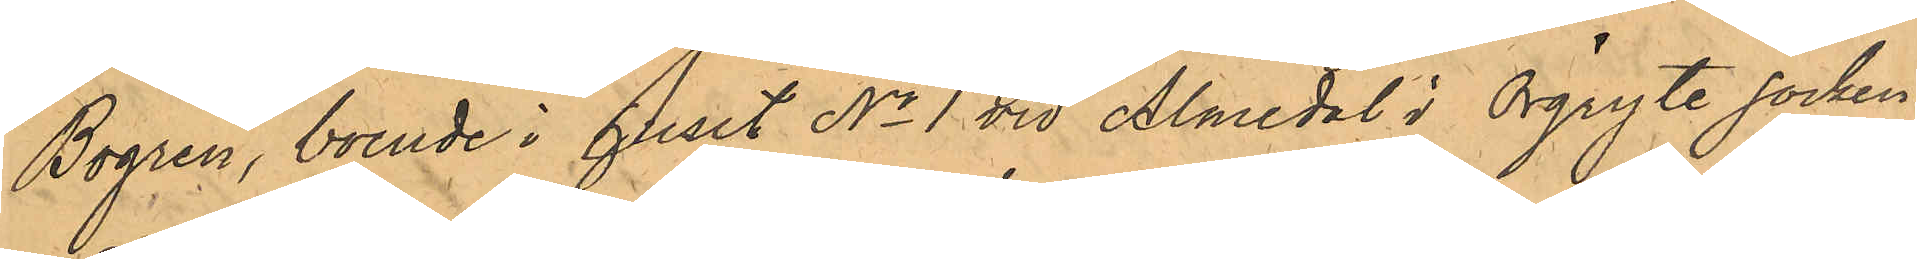Bogren, boende i huset No 1 vid Almedal i Örgryte Socken
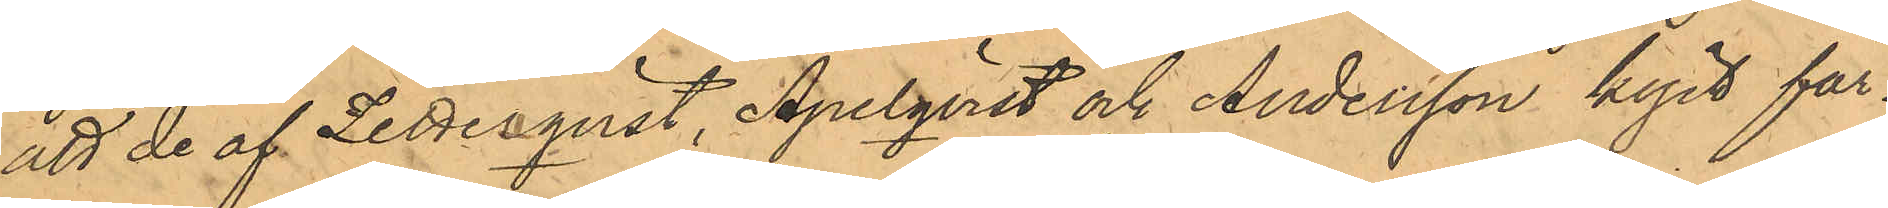tt de af Zetterqvist, Apelqvist och Andersson köpt får¬
